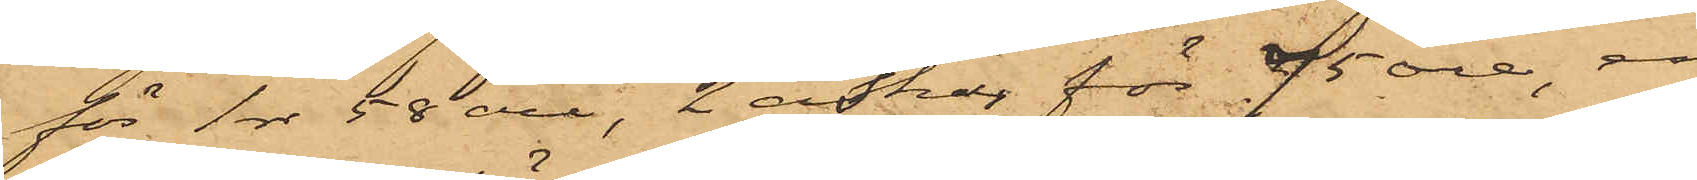för 1 rdr 58 öre, 2 askar för 75 öre, en
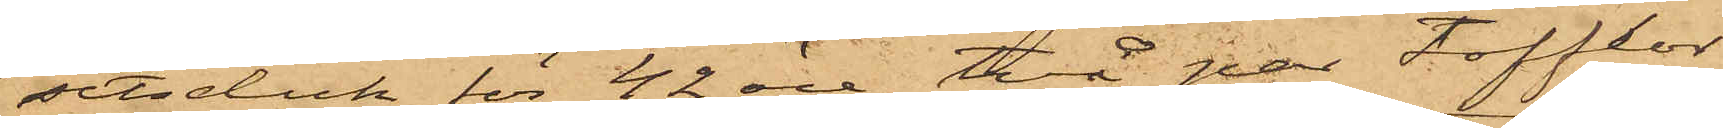sitsduk för 42 öre, två par tofflor
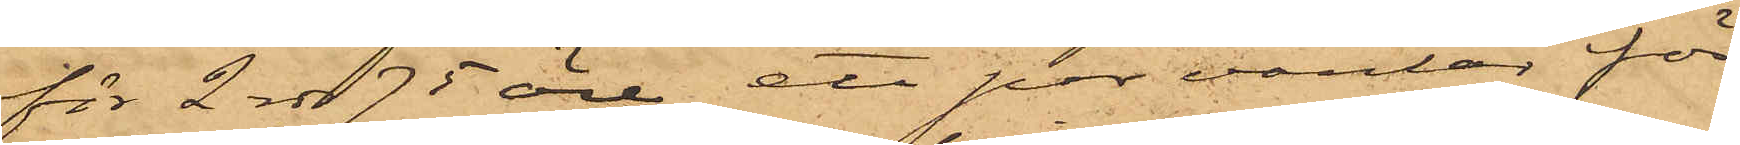för 2 rdr 75 öre, ett par vantar för
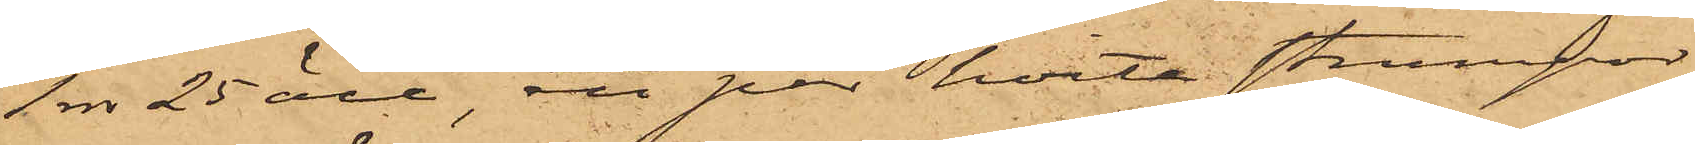1 rdr 25 öre, ett par hvita strumpor
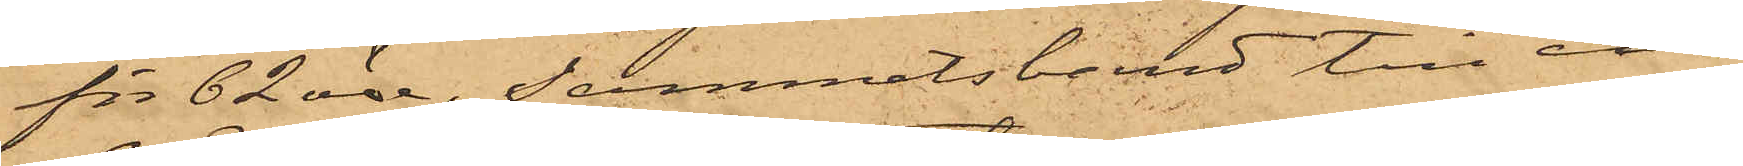för 62 öre, sammetsband till en
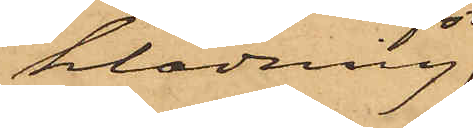klädning
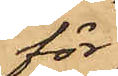för
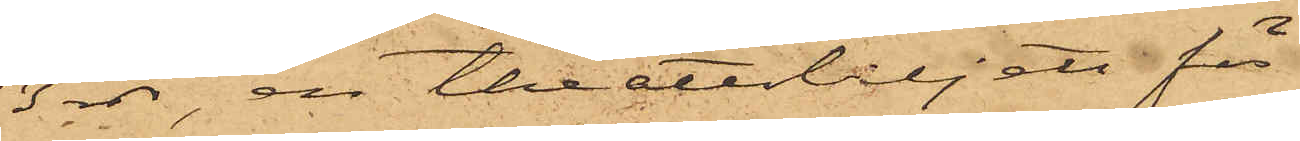3 rdr, en theaterbiljett för
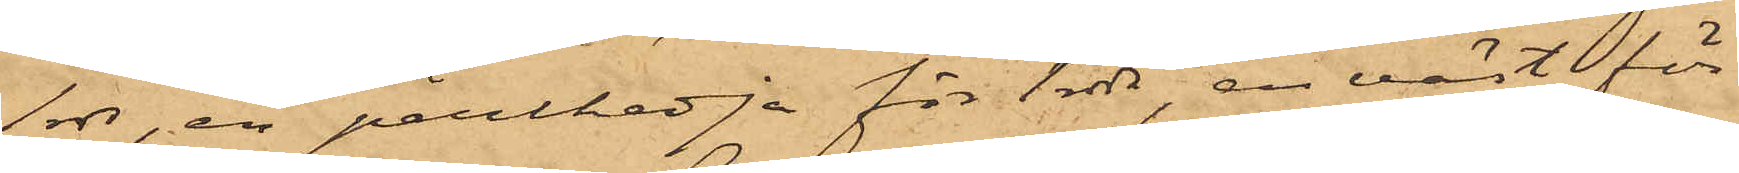1 rdr, en perlkedja för 1 rdr, en väst för
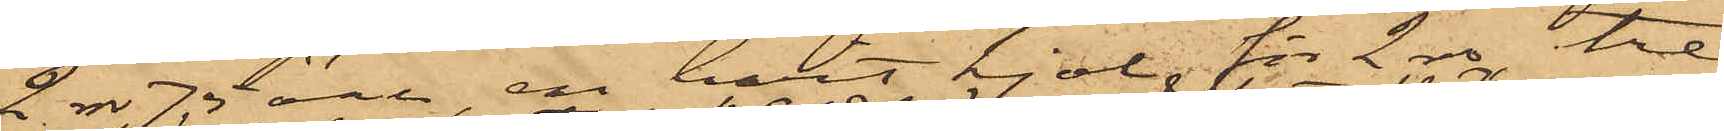2 rdr 75 öre, en hvit kjol för 2 rdr, tre
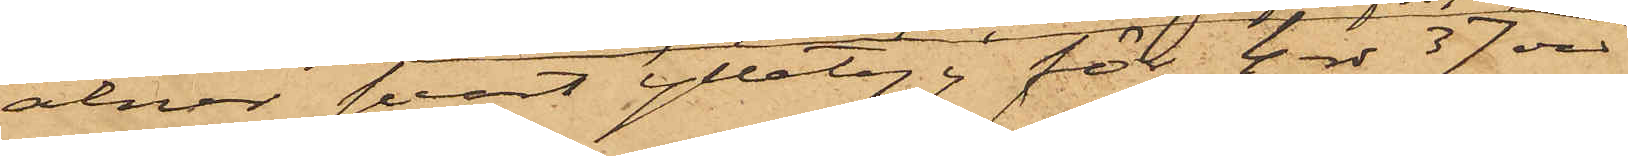alnar svart ylletyg för 4 rdr 37 öre,
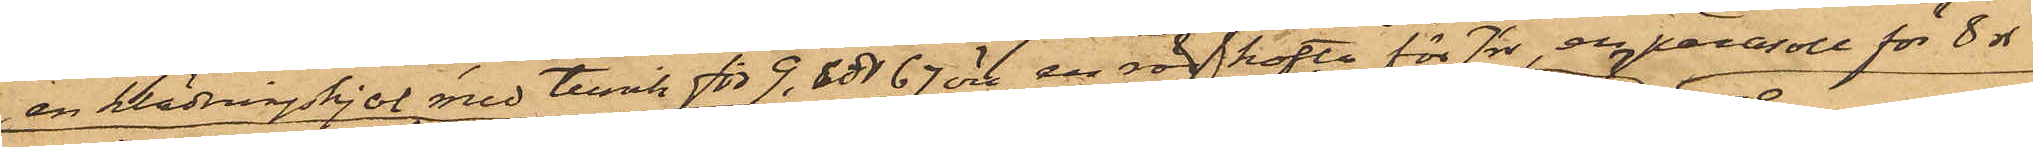en klädningskjol med tunik för 9 rdr 67 öre, en röd kofta för 7rdr, en parasoll för 8 rdr
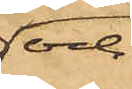och
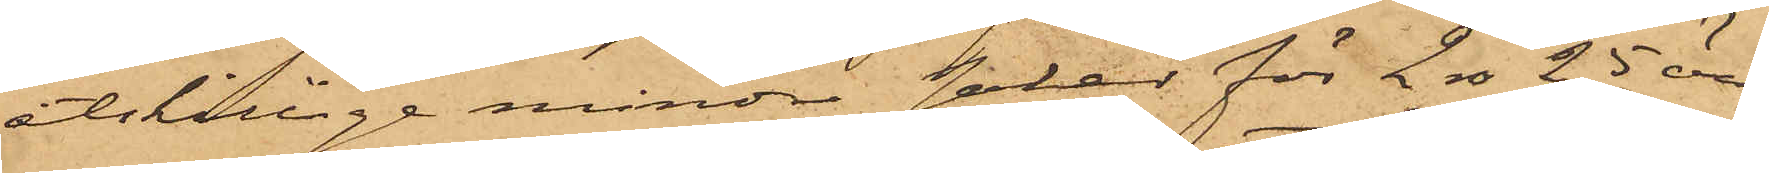åtskillige mindre saker för 2 rdr 25 öre
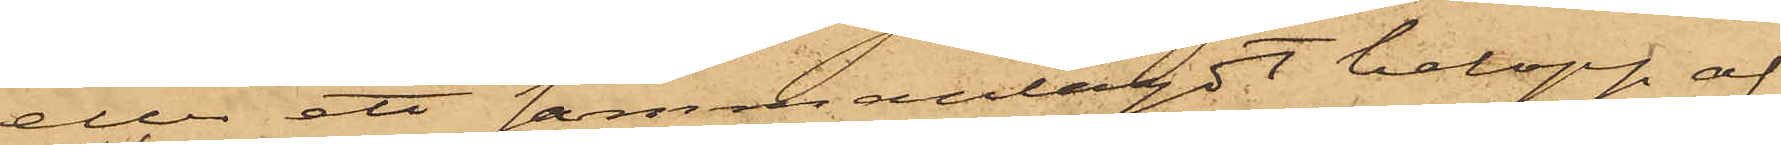eller ett sammanlagdt belopp af
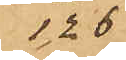126 rdr
